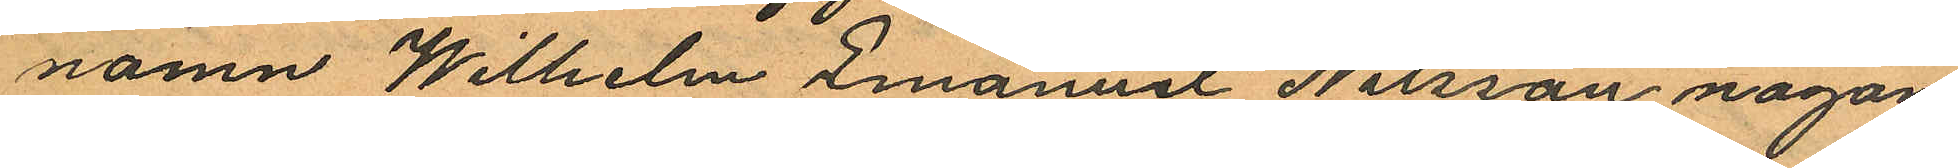namn Wilhelm Emanuel Nilsson någon
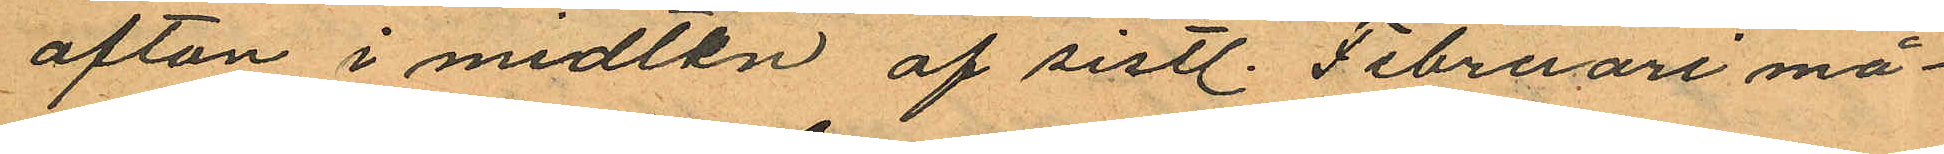afton i midten af sistl. Februari må¬
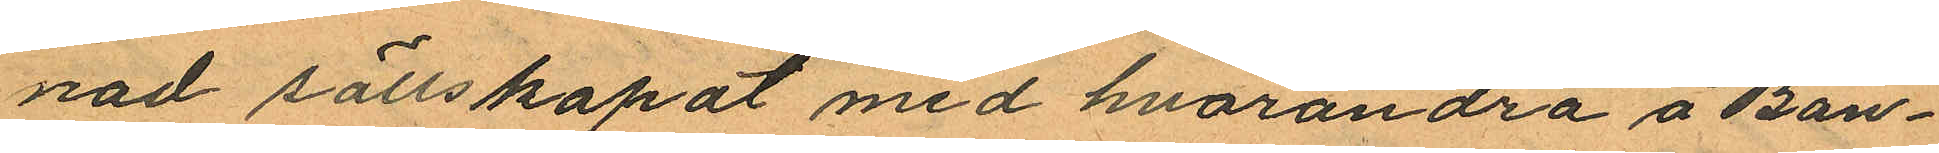nad sällskapat med hvarandra å Ban¬
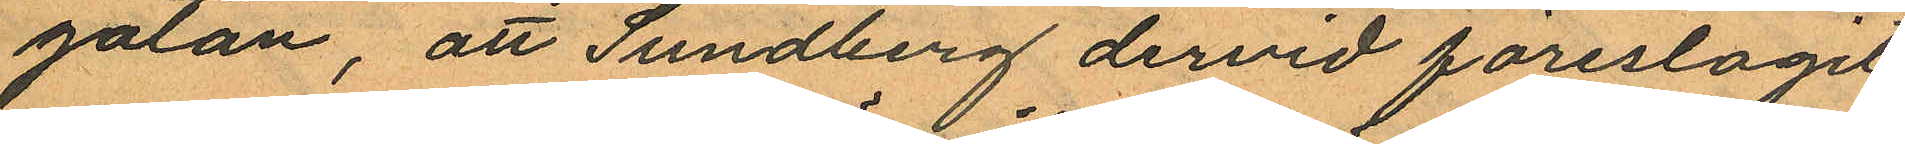gatan, att Sundberg dervid föreslagit
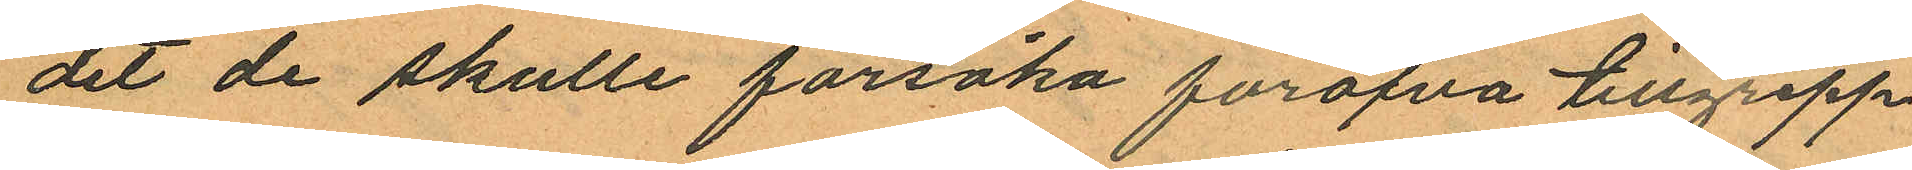det de skulle försöka föröfva tillgrepp
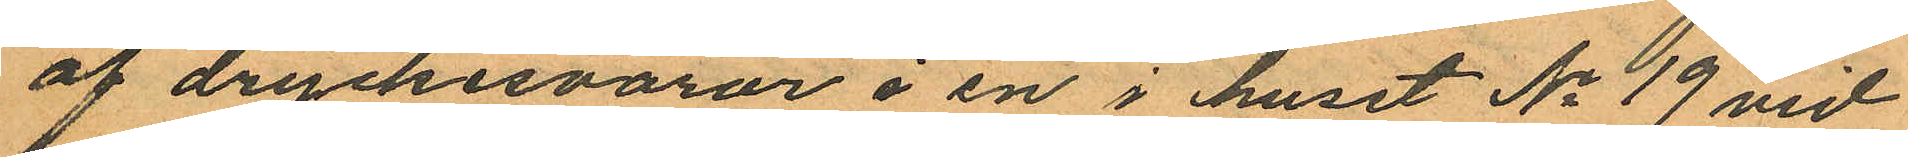af dryckesvaror i en i huset No 19 vid
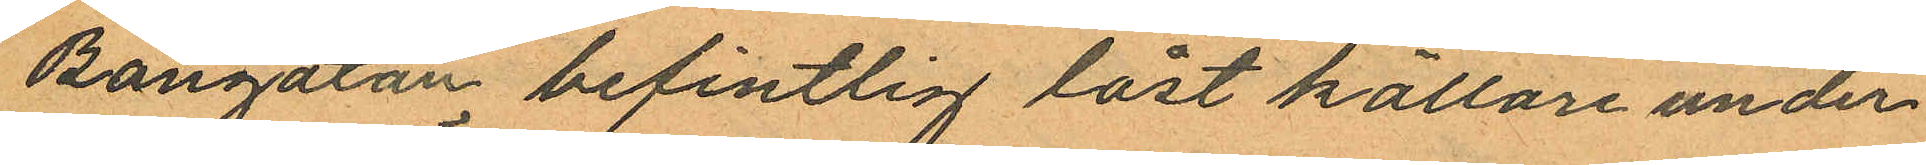Bangatan befintlig låst källare under
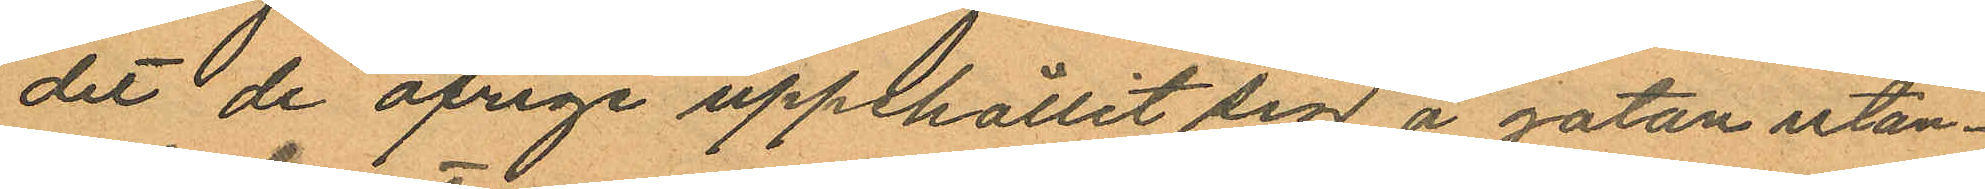det de öfriga uppthållit sig å gatan utan¬
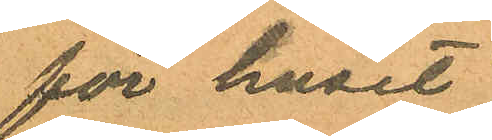för huset,
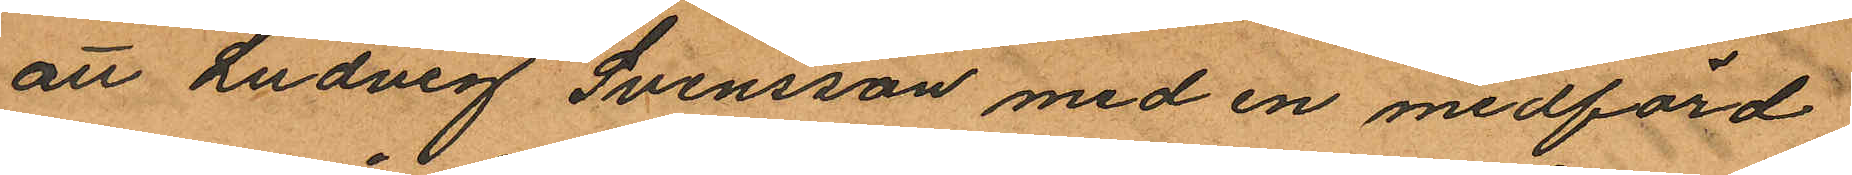att Ludvig Svensson med en medförd
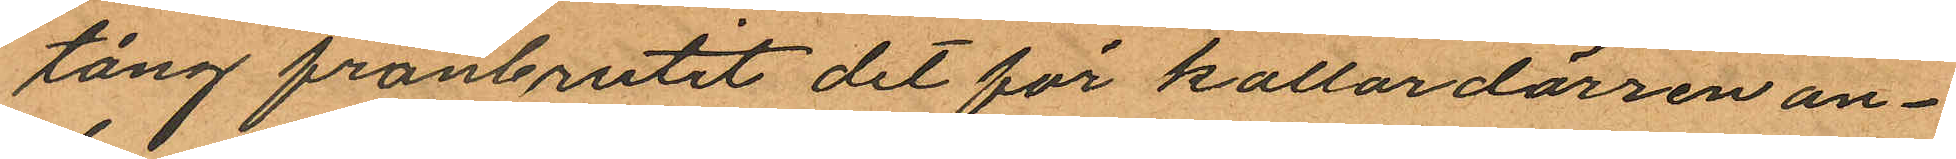tång frånbrutit det för kallardörren an¬
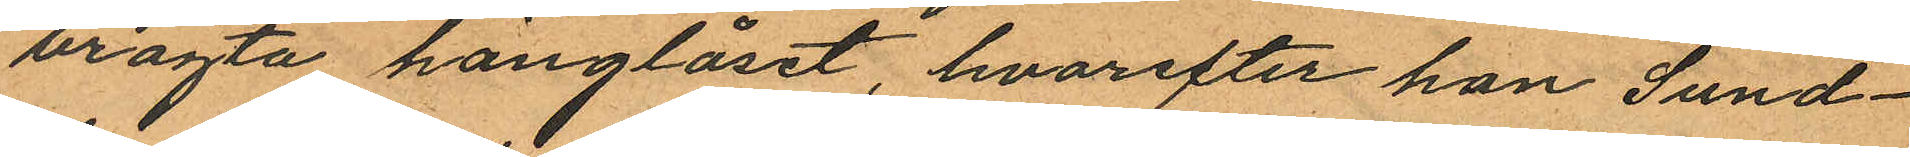bragta hänglåset, hvarefter han Sund¬
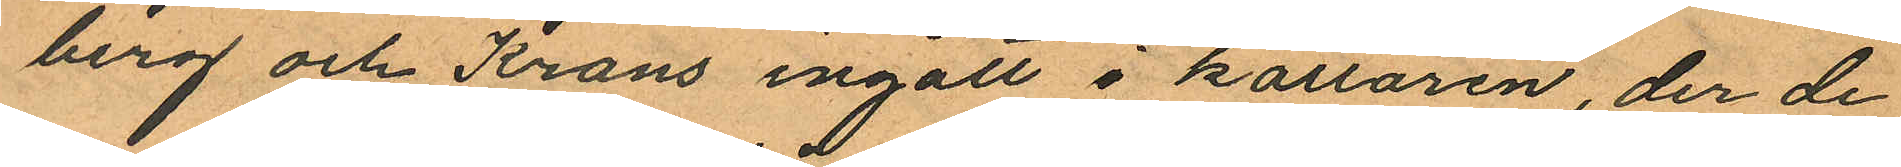berg och Krans ingått i källaren, der de
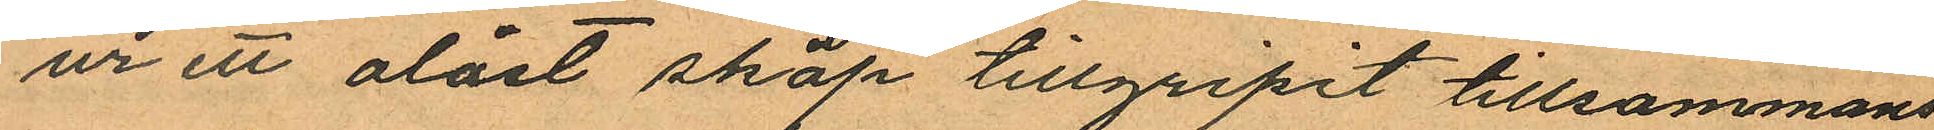ur ett olåst skåp tillgripit tillsammans
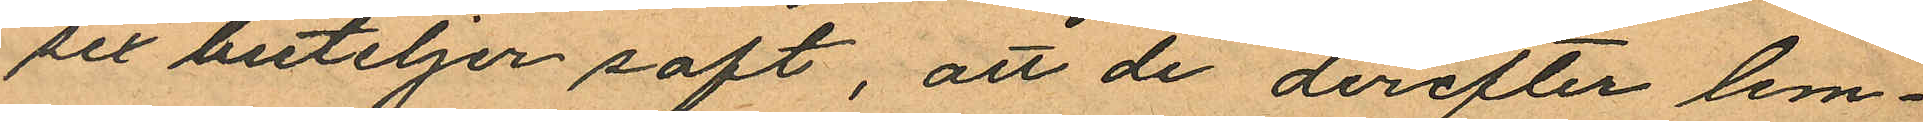sex buteljer saft, att de derefter lem¬
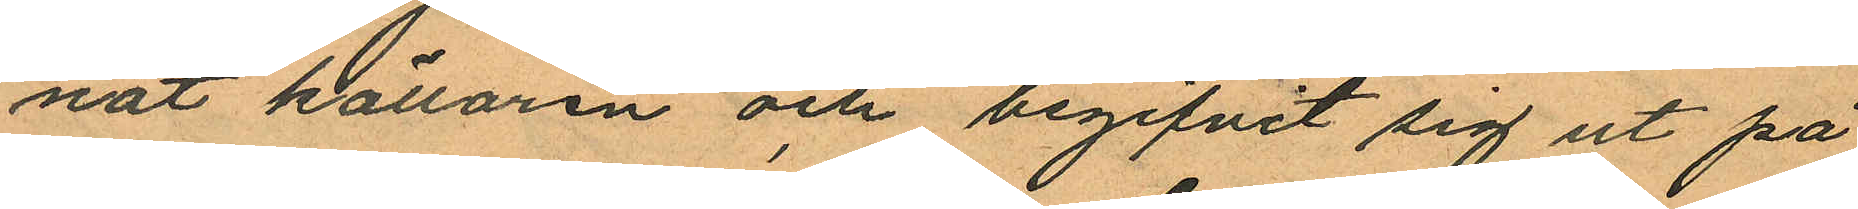nat källaren och begifvit sig ut på
